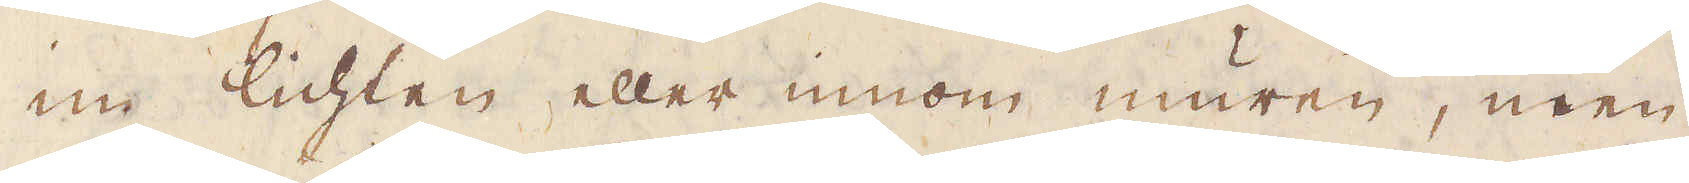im lichten eller innom muren, men
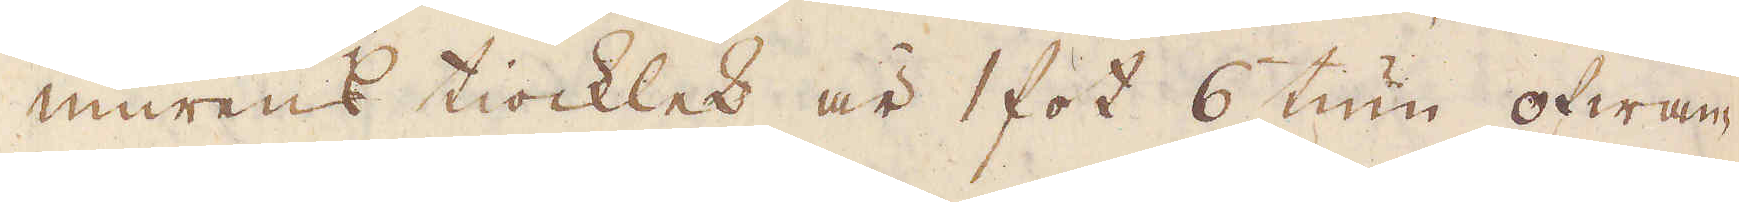murens tiocklek är 1 fot 6 tum ofwän-
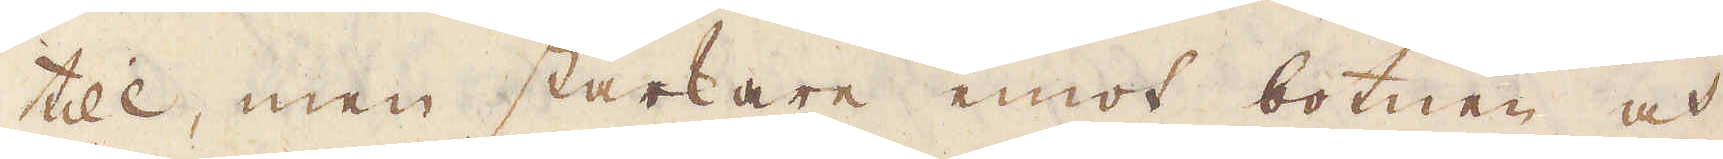till, men starkare emot botnen och
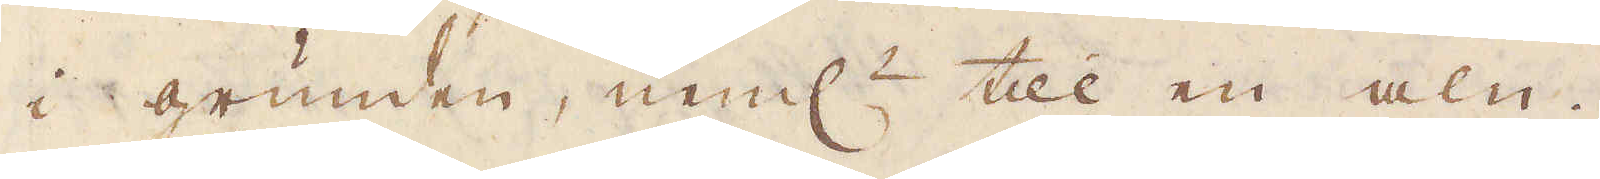i grunden, neml:n till en aln.
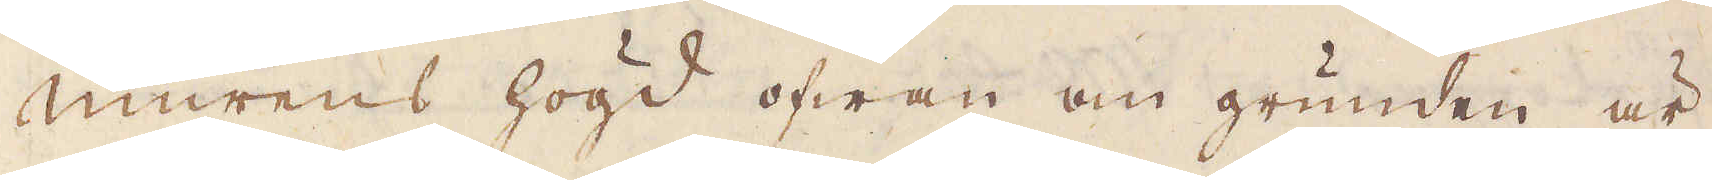Murens högd ofwan om grunden är
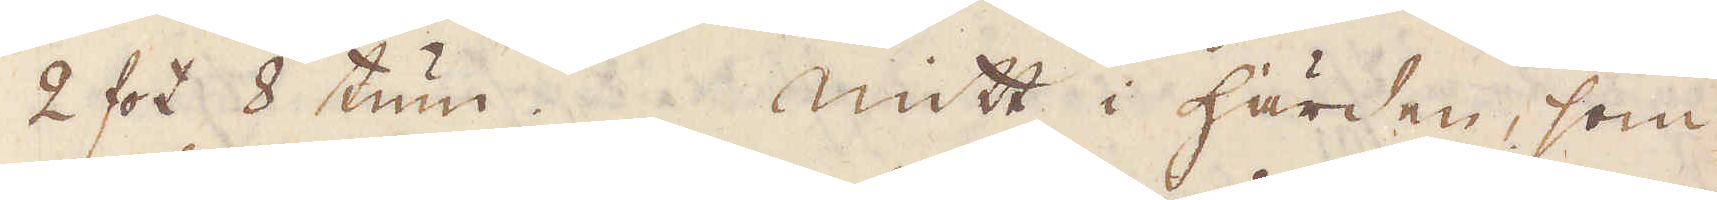2 fot 8 tum. Mitt i Härden, som
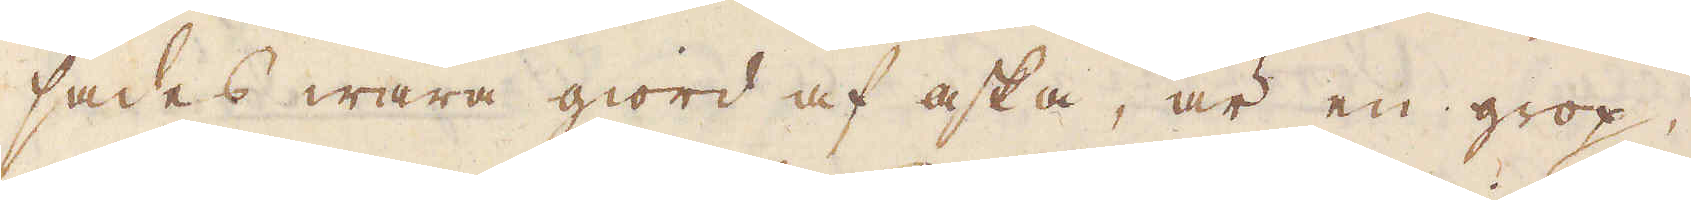sades wara giord af aska, är en grop,
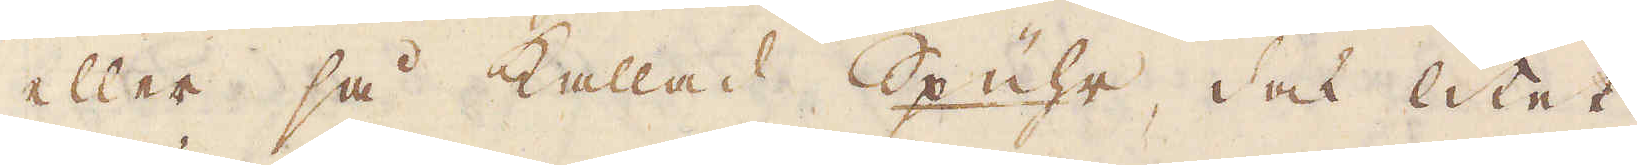eller så kallad Spühr, dock litet
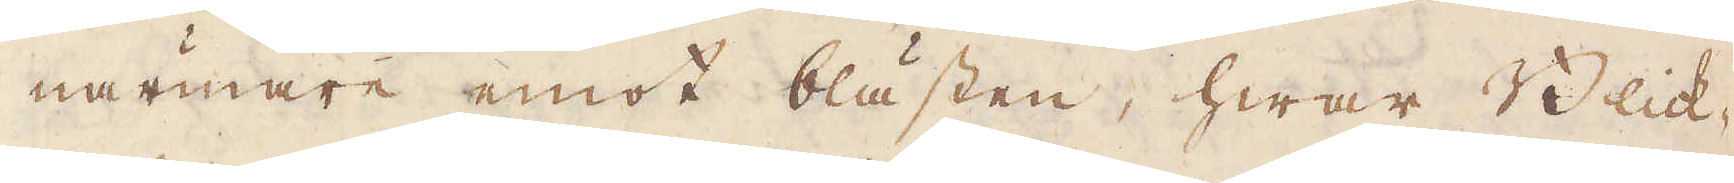närmare emot blästen, hwar Qvick-
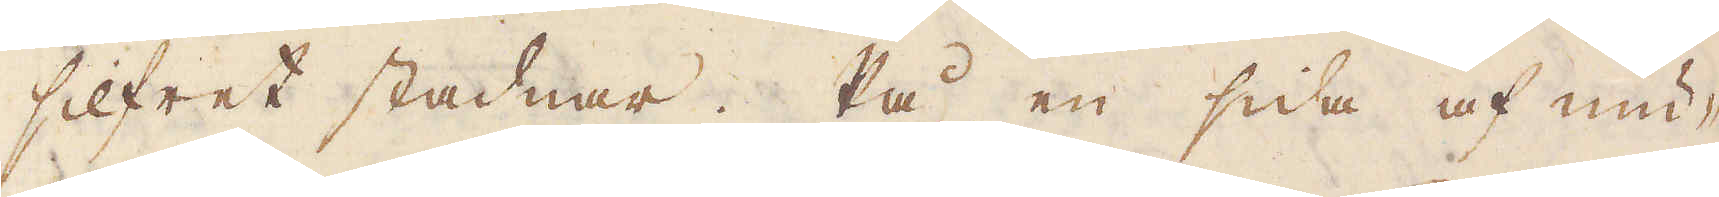silfret stadnar. På en sida af mu-
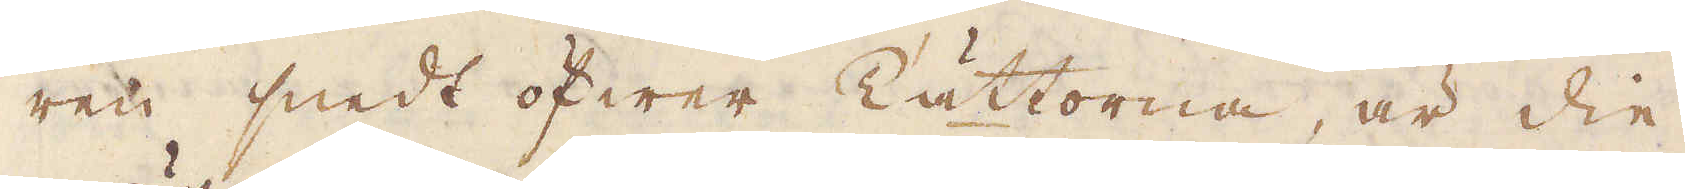ren snedt öfwer Tättorna, är die
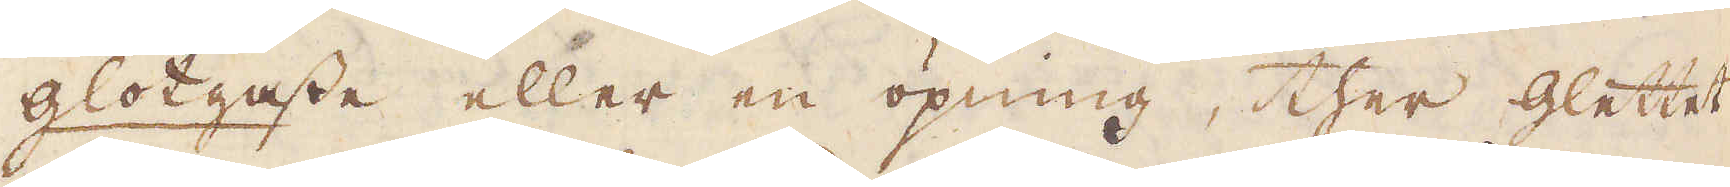glötgaste eller en öpning, ther glettet
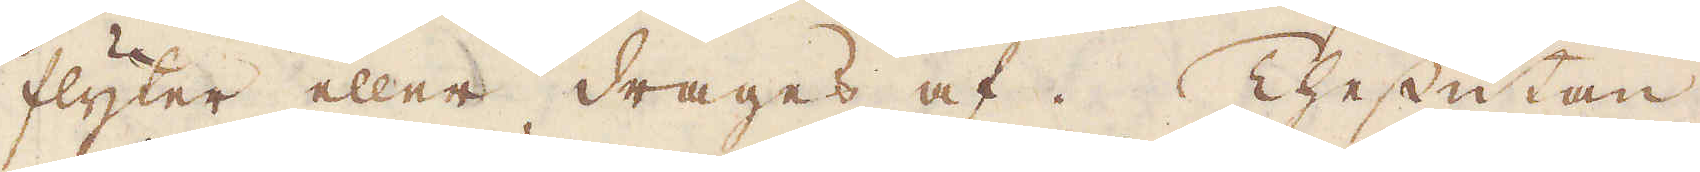flyter eller drages af. Thessutan
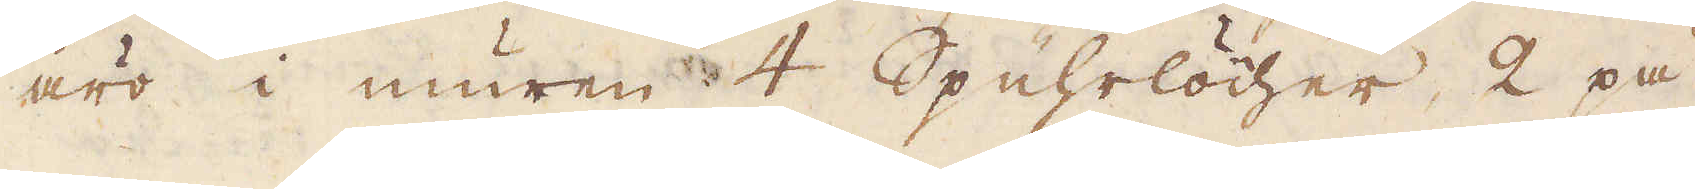äro i muren 4 Spuhrlöcher, 2 på
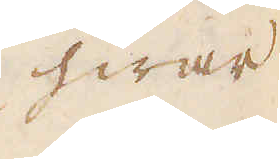hwar
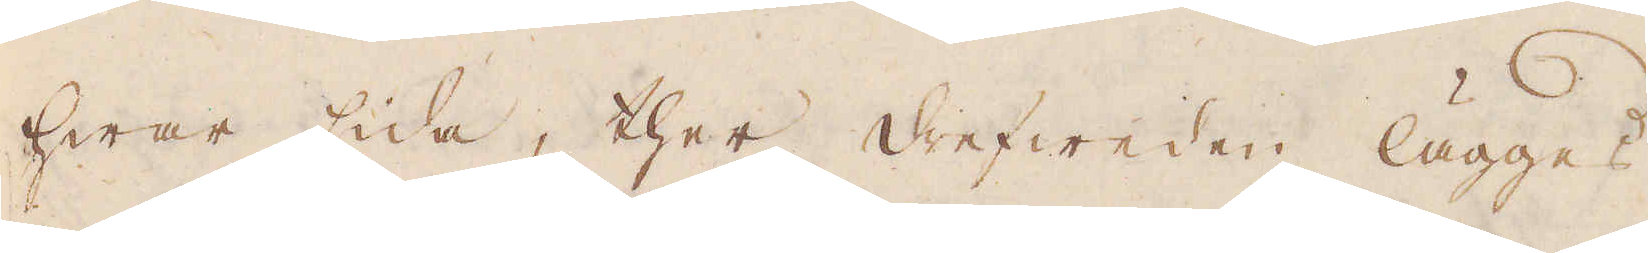hwar sida, ther drefweden lägges
